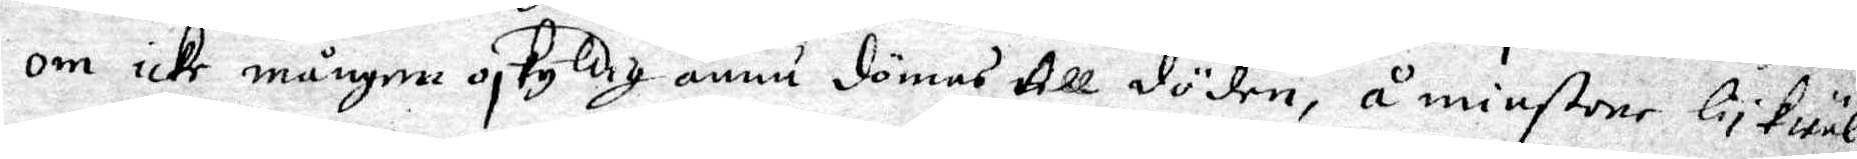om icke mången oskyldig ännu dömas till döden, å minstone lykwäl
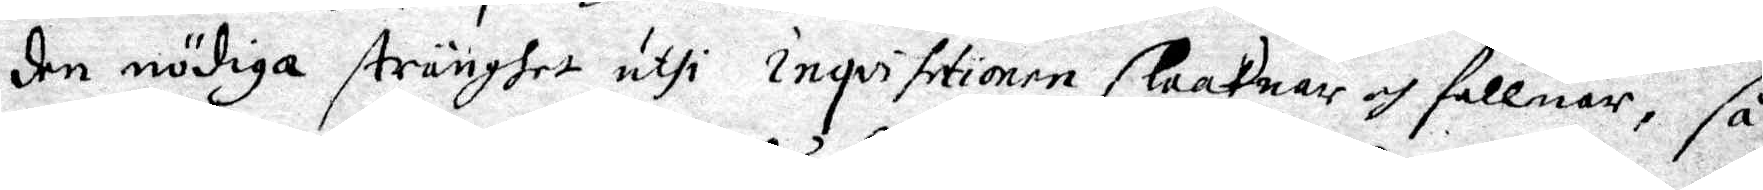den nödiga stränghet uthi inqvisitionen slaaknar och faller, så
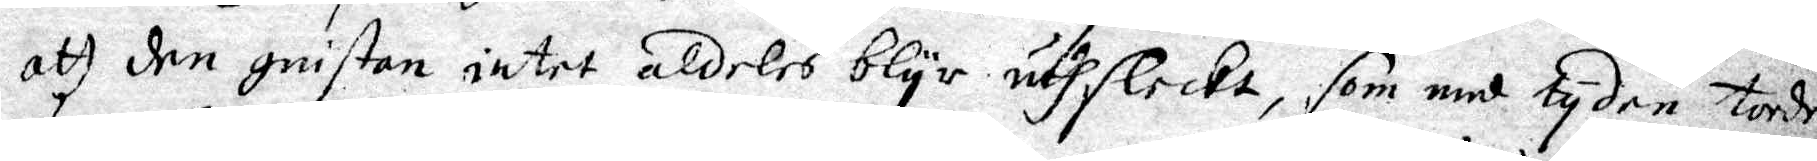att den gnistan intet aldeles blyr uthsleckt, som med tyden torde
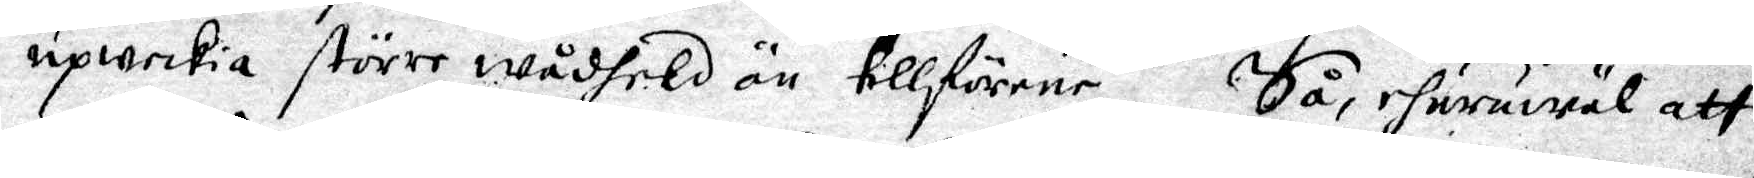upweckia större wådheld än tillförene. Så, ehuruwäl att
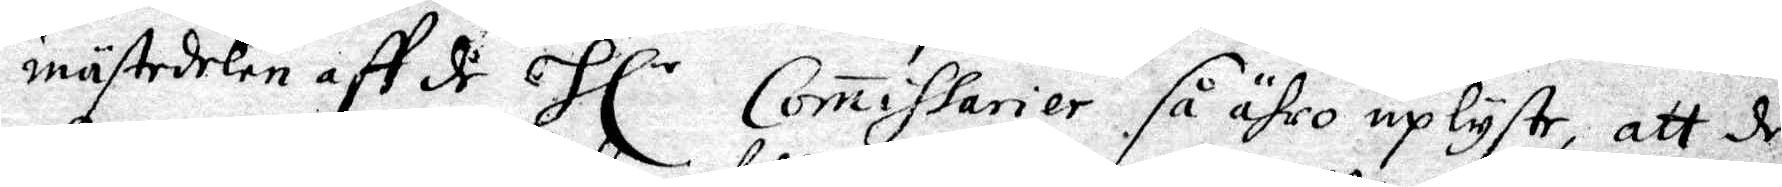mästedelen aff de Hl r Commissarier så ähro uplyste, att de
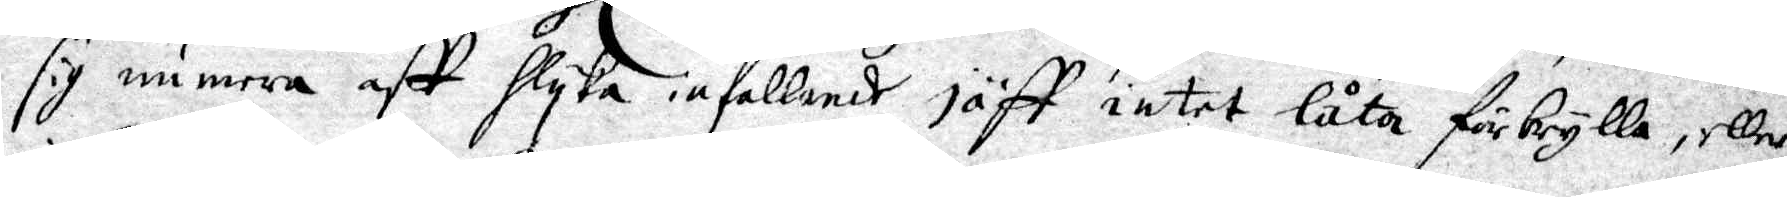sig numera aff slyka infallande jäff intet låta förbrylla, eller
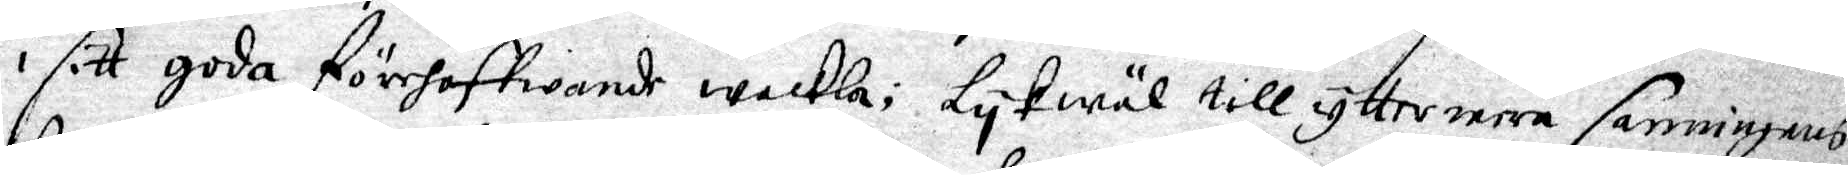i sitt goda förehaffwande wackla; Lykwäl till yttermera sanningens
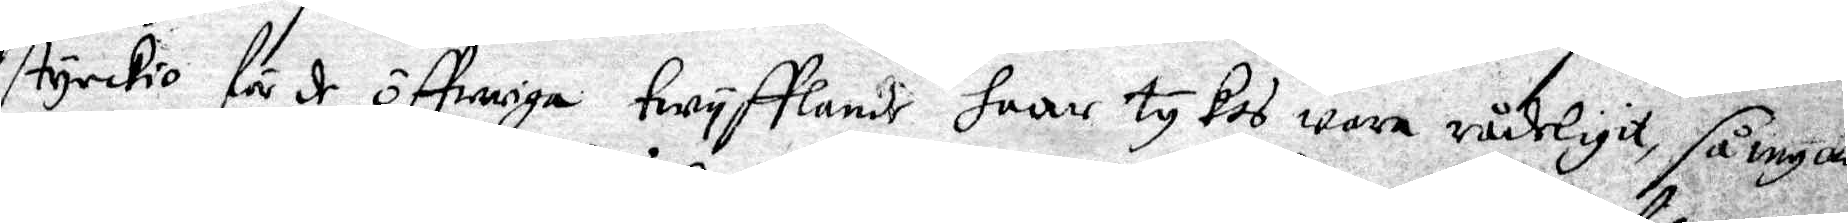styckio för de öffwriga twyfflande haar tykes wara wådeligt, så mycket
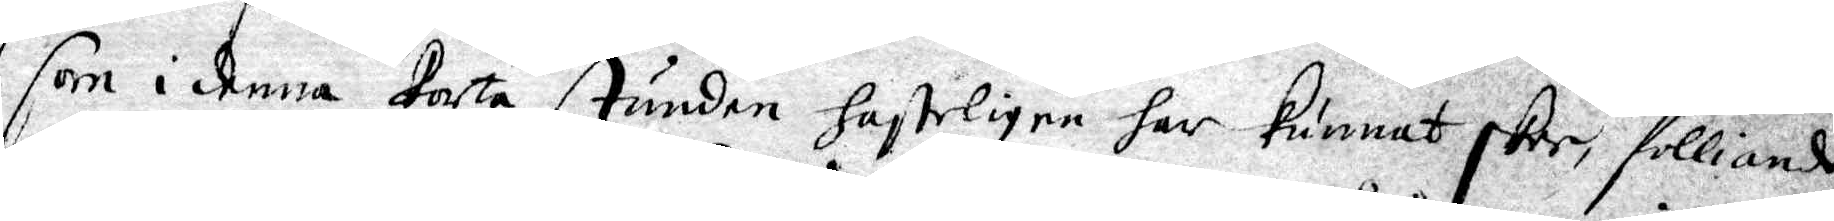som i denna korta stunden hasteligen har kunnat skee, folliande
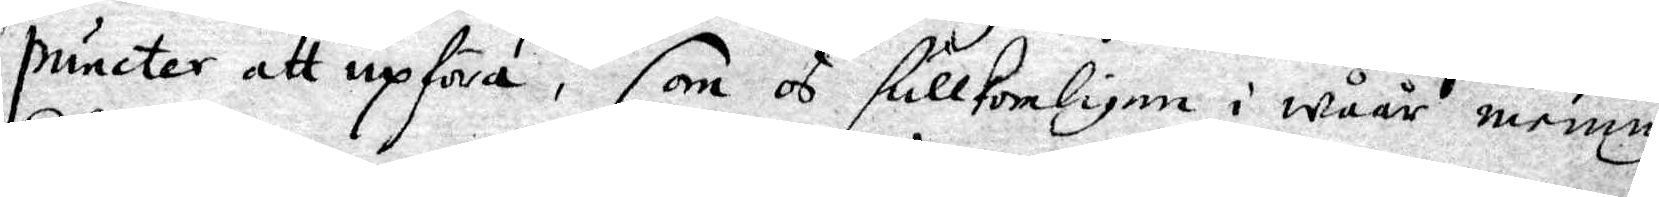puncter att upföra, som os fullkomligen i wåår mening
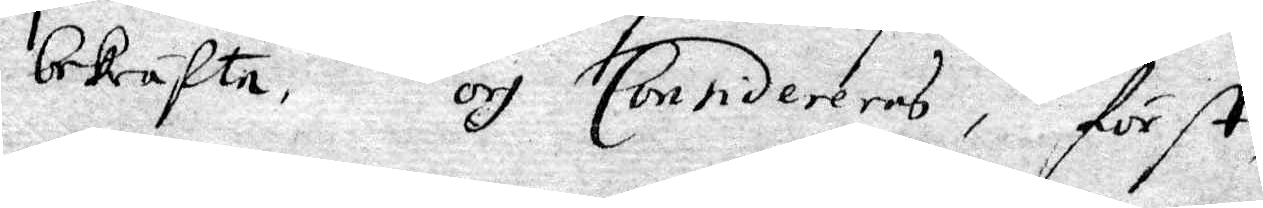bekräfta, och Considereras, först,
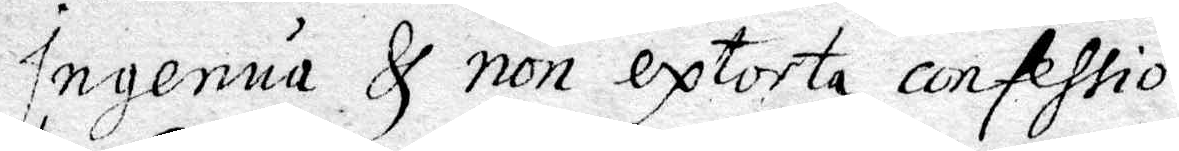Ingenua & non extorta confessio.
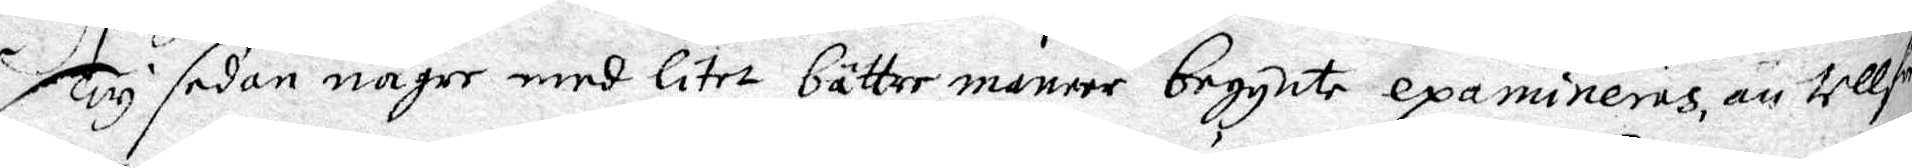Ty sedan någre med litet bättre maneer begynte examineras än tells¬
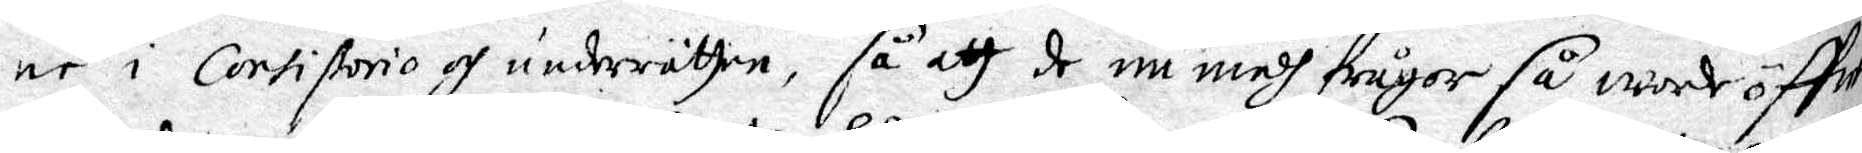ne i Cortißorio och underrätten, så att de nu medh frågor så worde öffwer¬
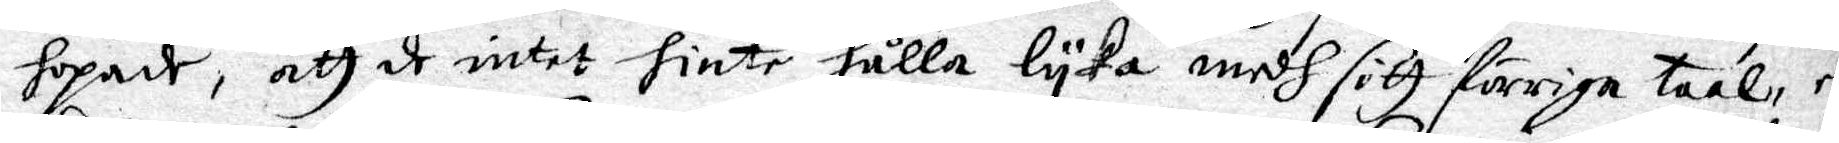hopadt, att de intet hinte hålla lyka medh sitt förriga taal, eller
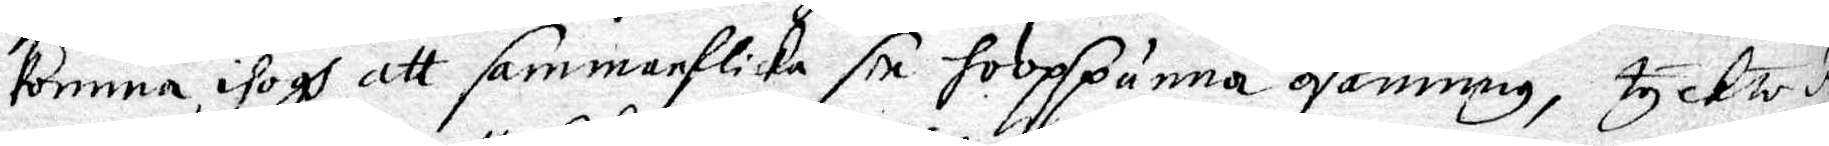komma ihogh att sammanflicka sin hoopspunna osanning, tyckte dem
